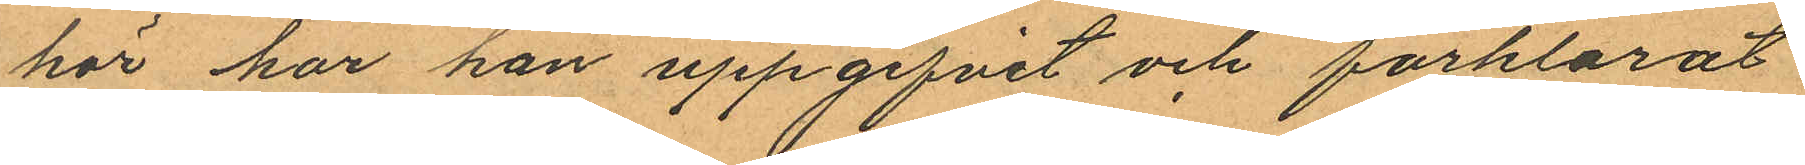hör har han uppgifvit och förklarat
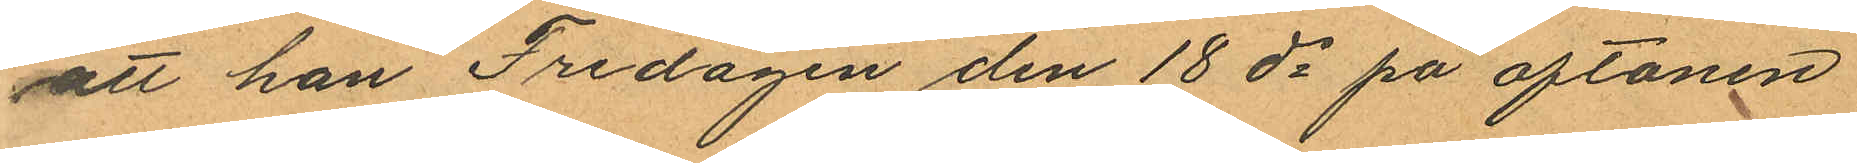att han Fredagen den 18 ds på aftonen
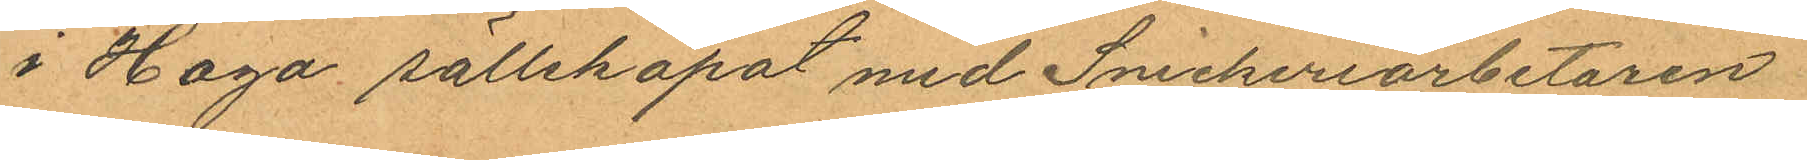i Haga sällskapat med Snickeriarbetaren
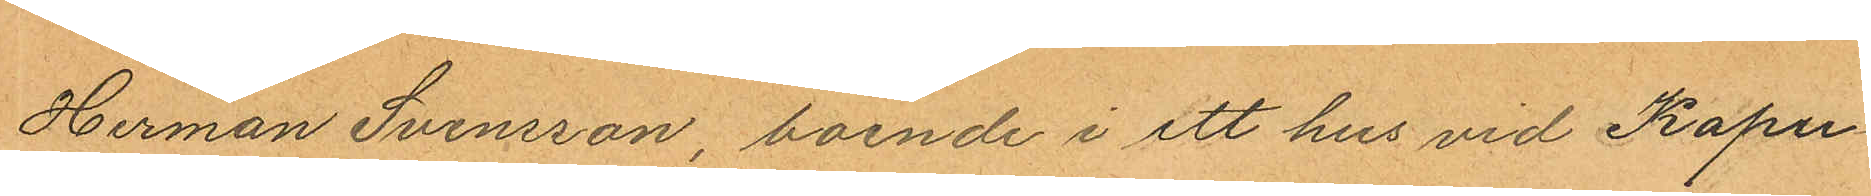Herman Svensson, boende i ett hus vid Kapu¬
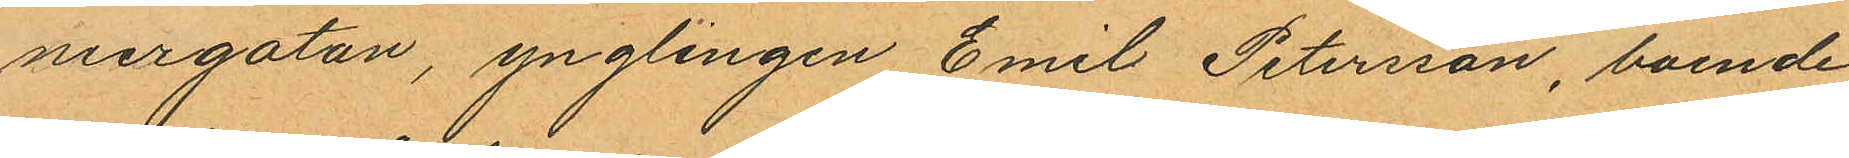niergatan, ynglingen Emil Petersson, boende
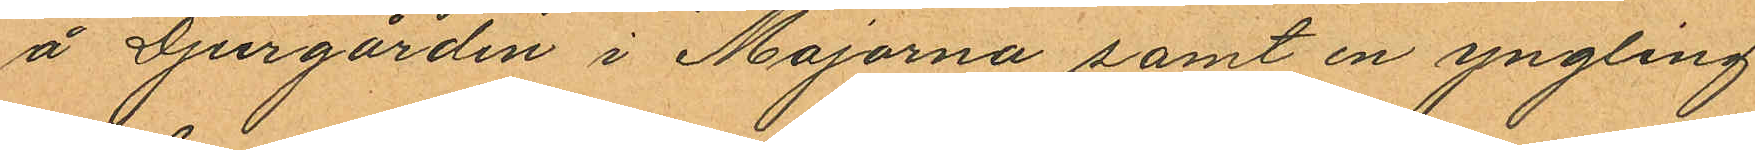å Djurgården i Majorna samt en yngling
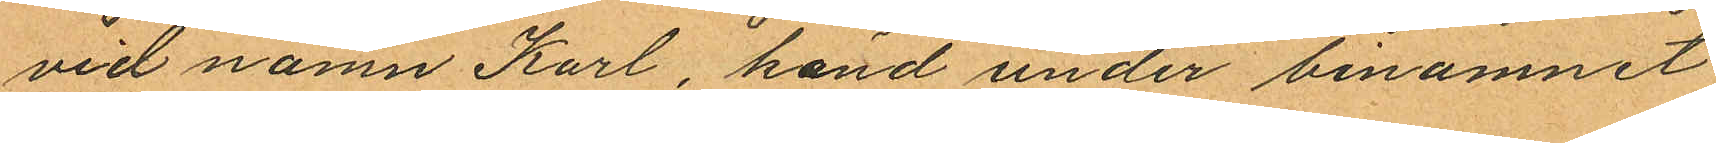vid namn Karl, känd under binamnet
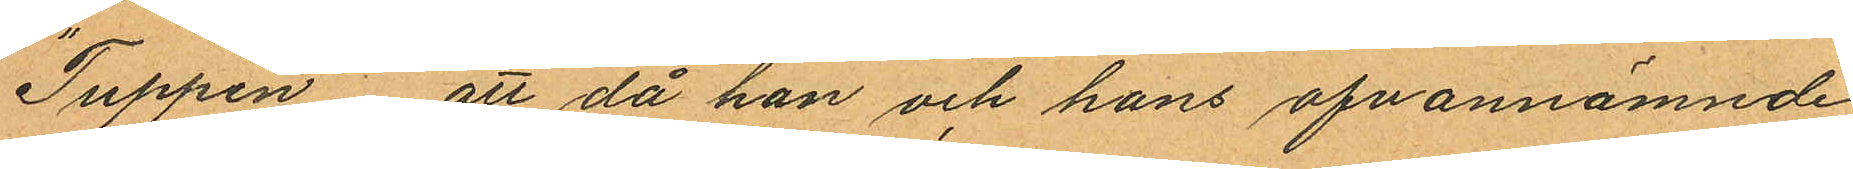"Tuppen" att då han och hans ofvannämnde
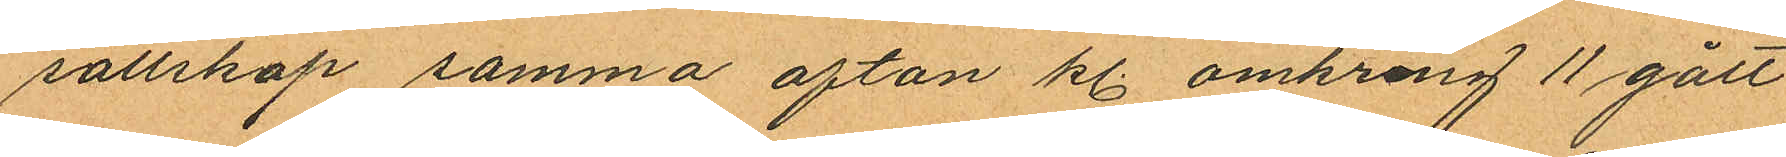sällskap samma afton kl. omkring 11 gått
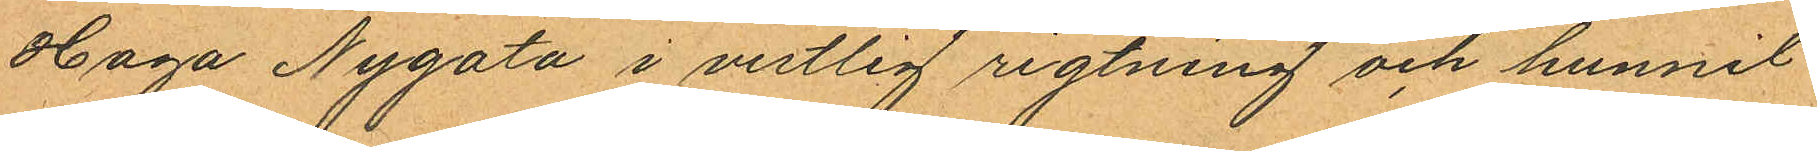Haga Nygata i vestlig rigtning och hunnit
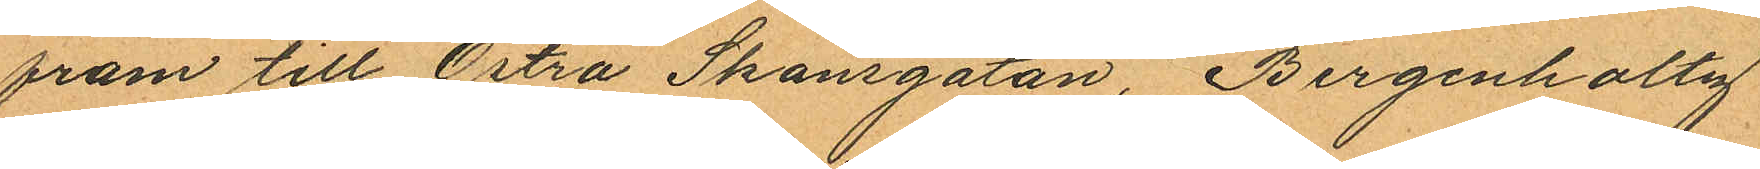fram till Östra Skansgatan, Bergenholtz,
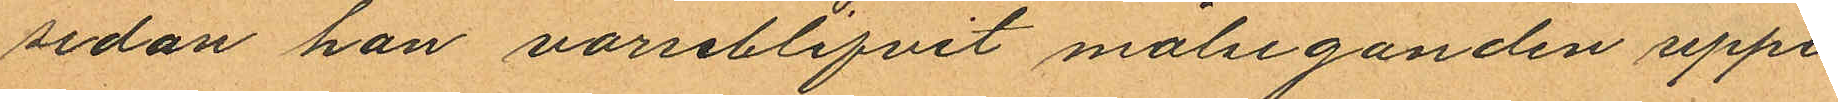sedan han varseblifvit målseganden uppe¬
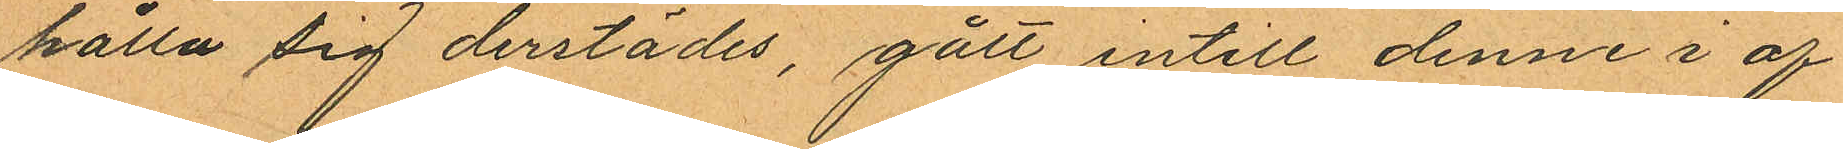hålla sig derstädes, gått intill denne i af¬
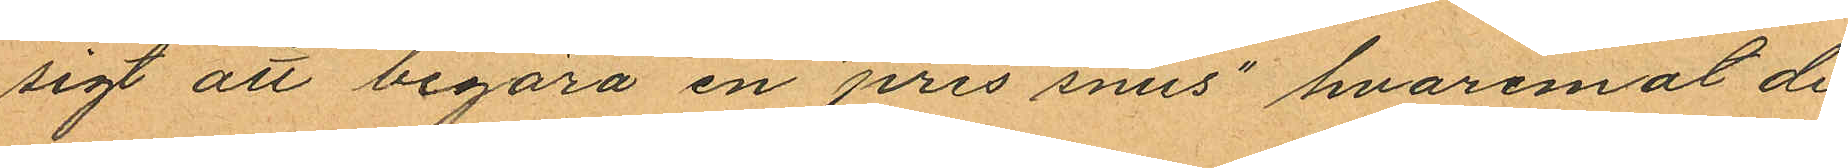sigt att begära en "pris snus" hvaremot de
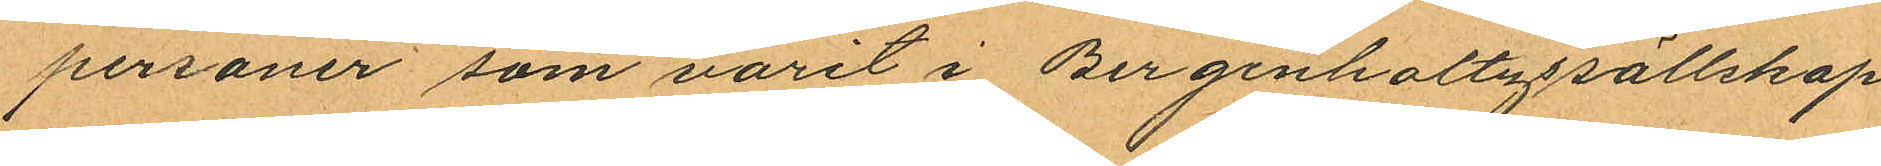personer som varit i Bergenholtzs sällskap
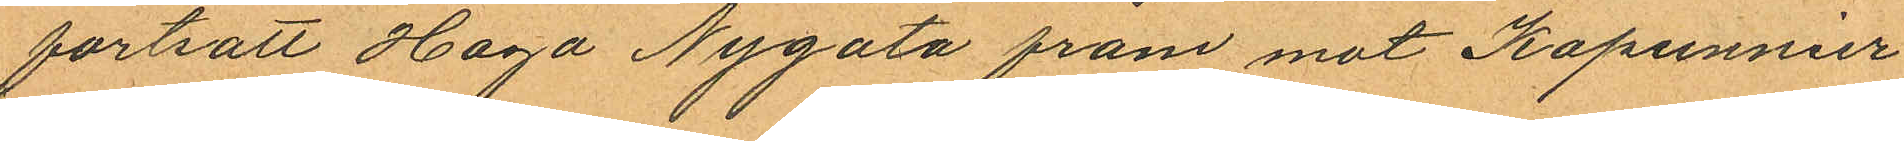fortsatt Haga Nygata fram mot Kapunnier¬
